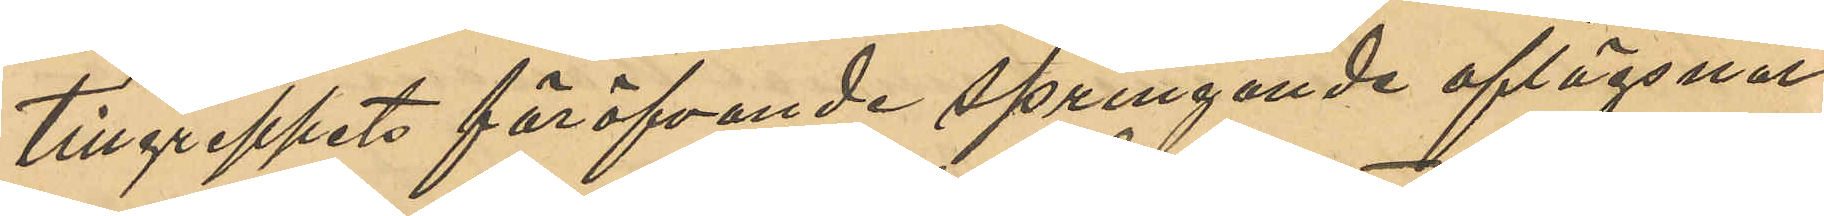tillgreppets föröfvande springande aflägsnat
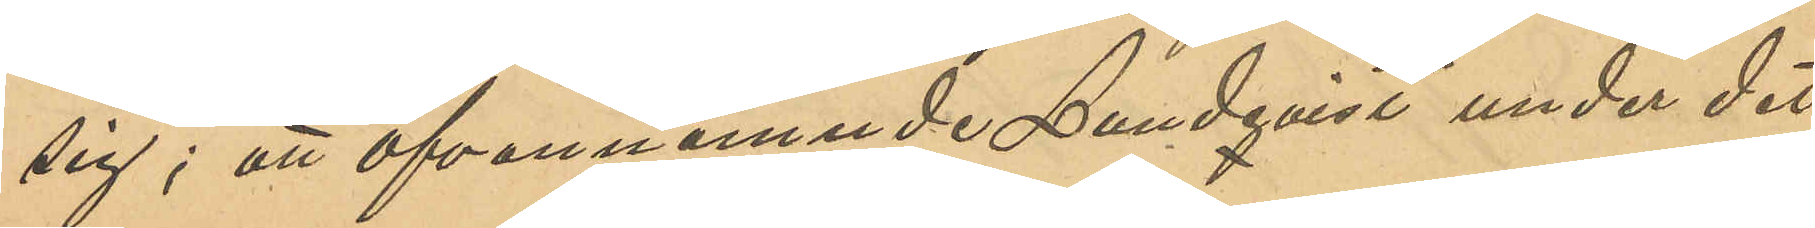sig; att ofvannämnde Lundqvist under det
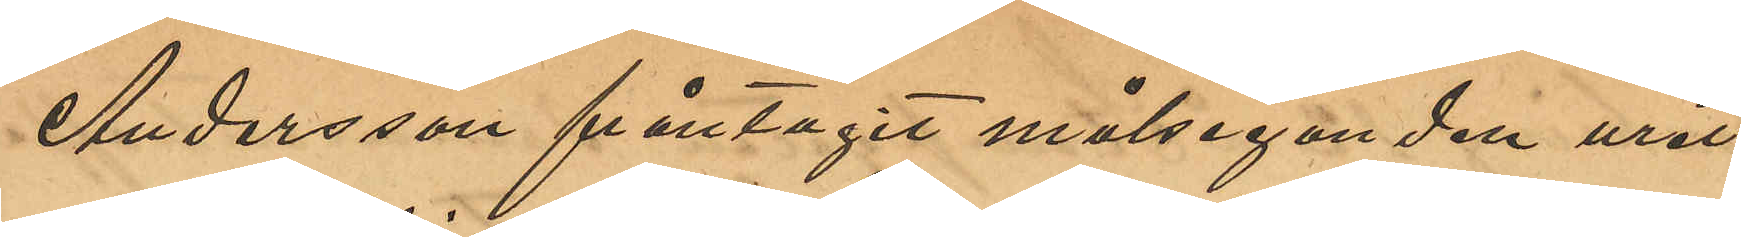Andersson fråntagit målseganden uret,
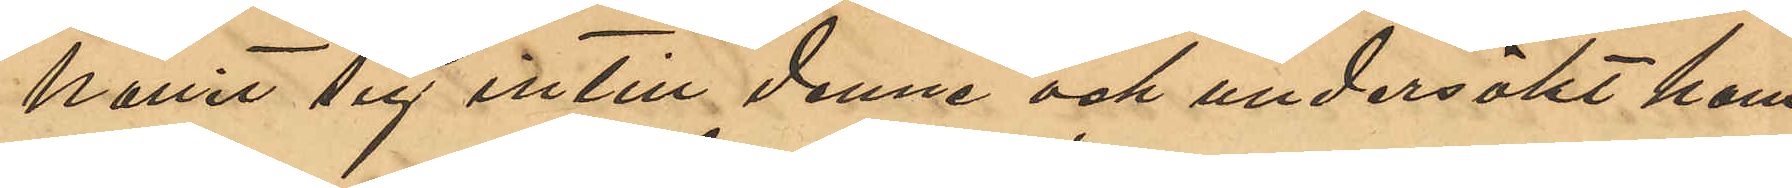hållit sig intill denne och undersökt hans
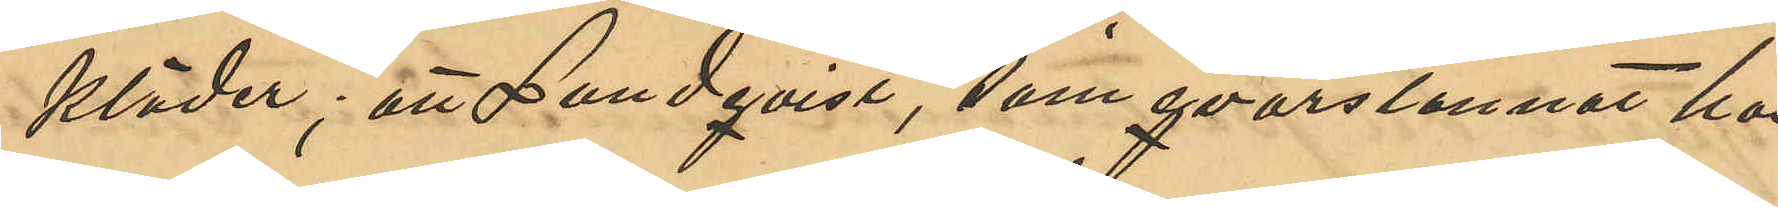kläder; att Lundqvist, som qvarstannat hos
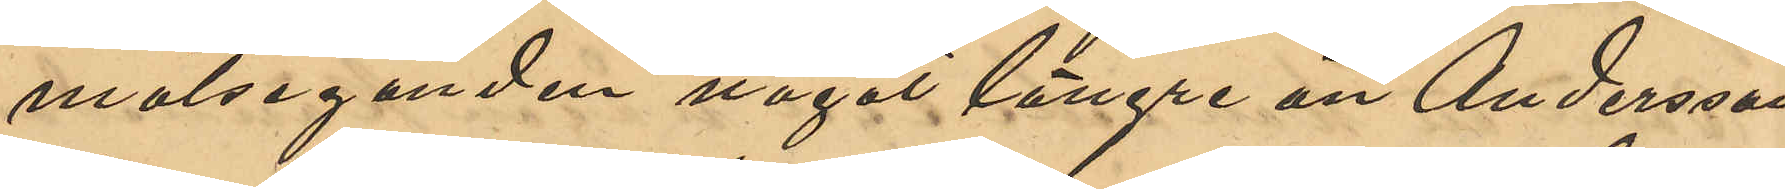målseganden något längre än Andersson
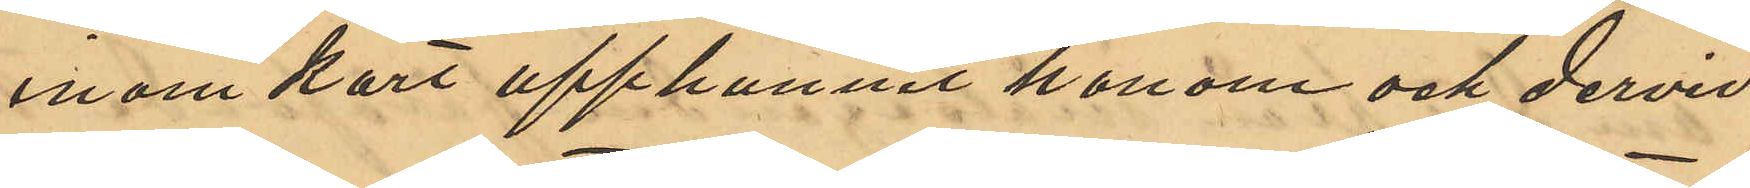inom kort upphunnit honom och dervid
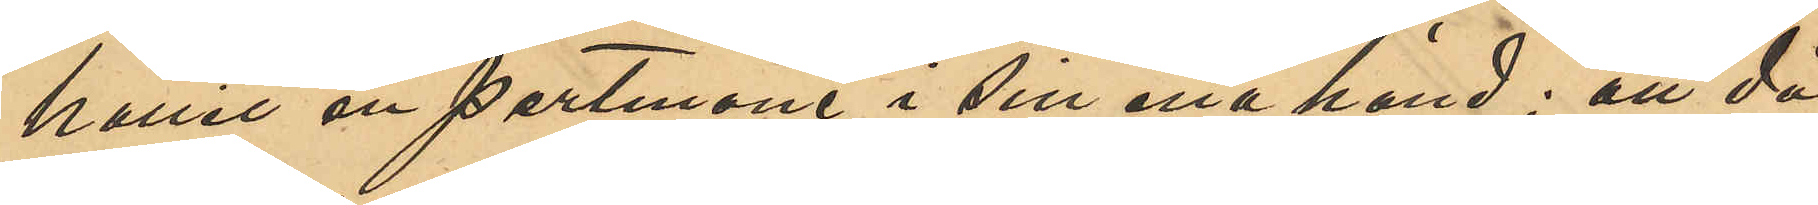hållit en portmone i sin ena hand; att då
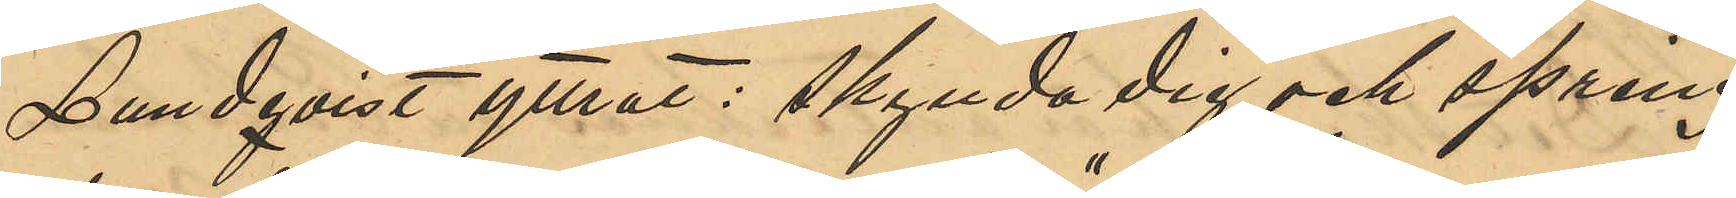Lundqvist yttrat: skynda dig och spring
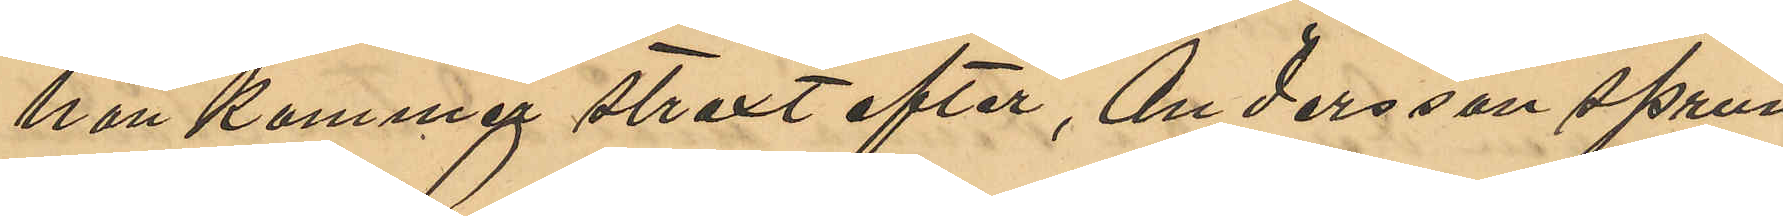han kommer straxt efter", Andersson sprun¬
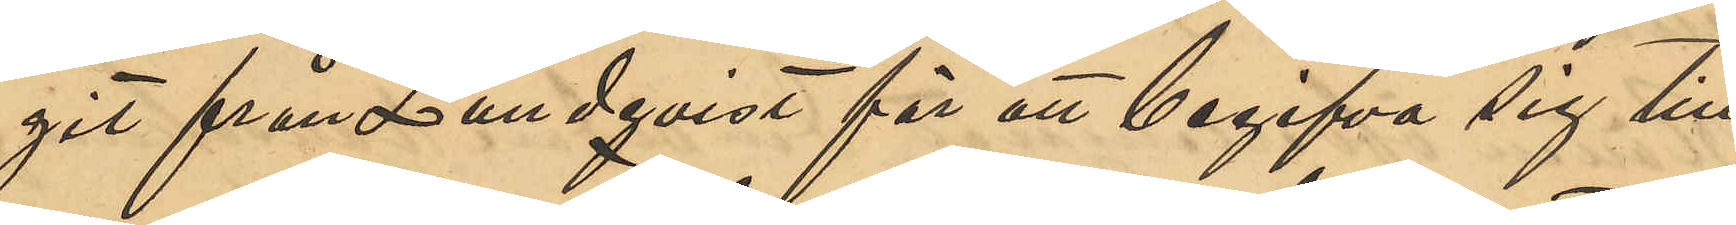git från Lundqvist för att begifva sig till
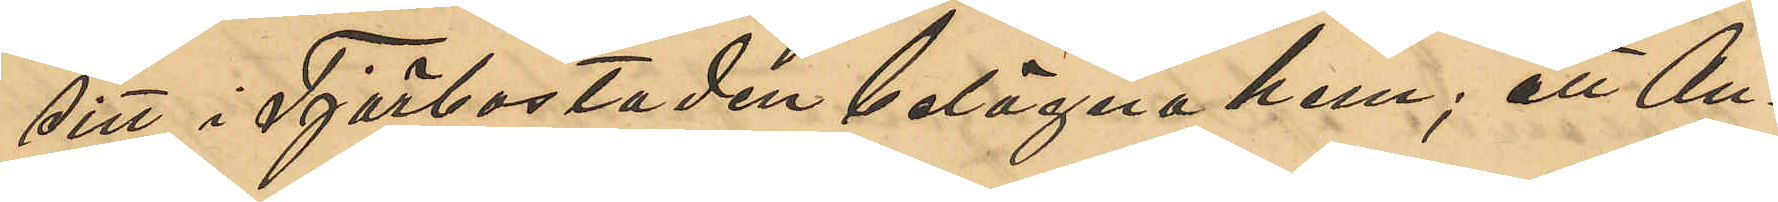sitt i Tjörbostaden belägna hem; att An¬
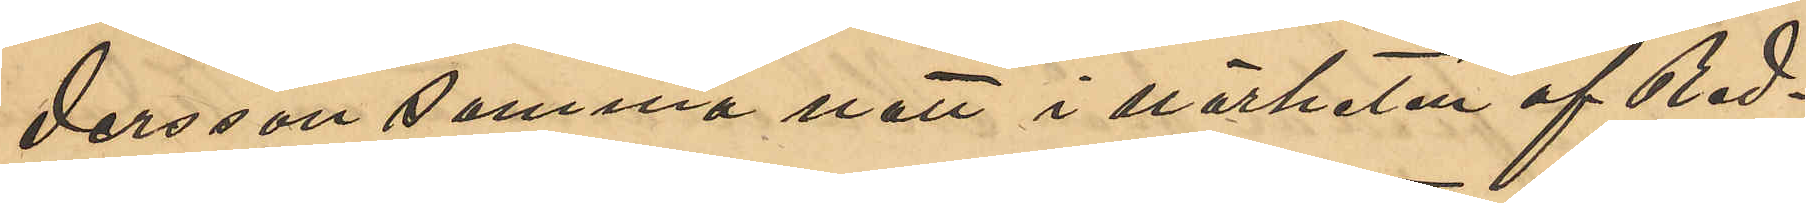dersson samma natt i närheten af Red¬
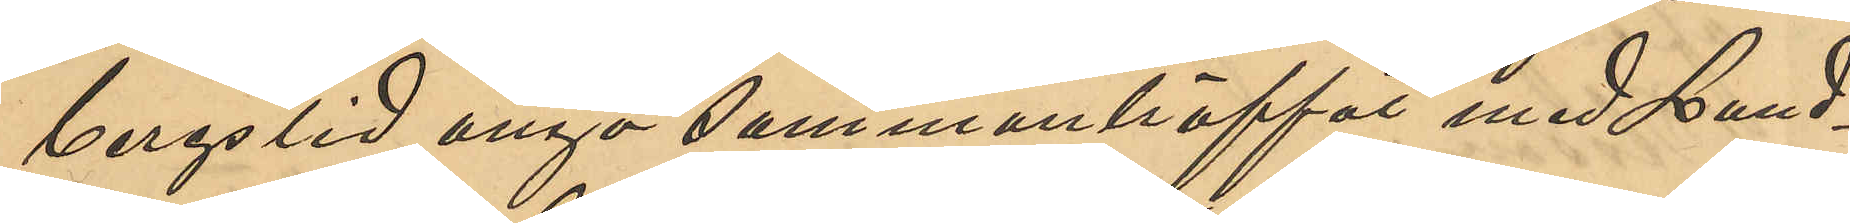bergslid ånyo sammanträffat med Lund¬
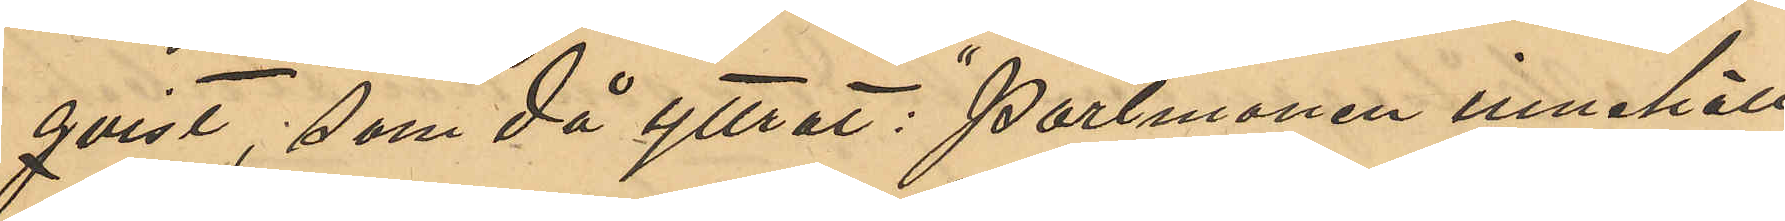qvist, som då yttrat: "Portmonen innehöll
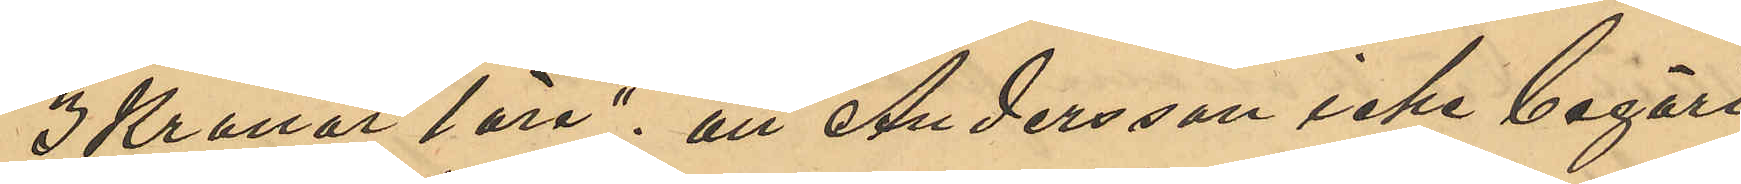3 Kronor 1 öre"; att Andersson icke begärt
